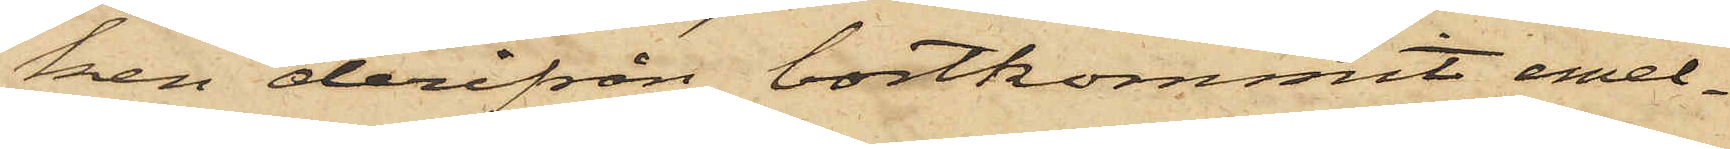ken derifrån bortkommit emel¬
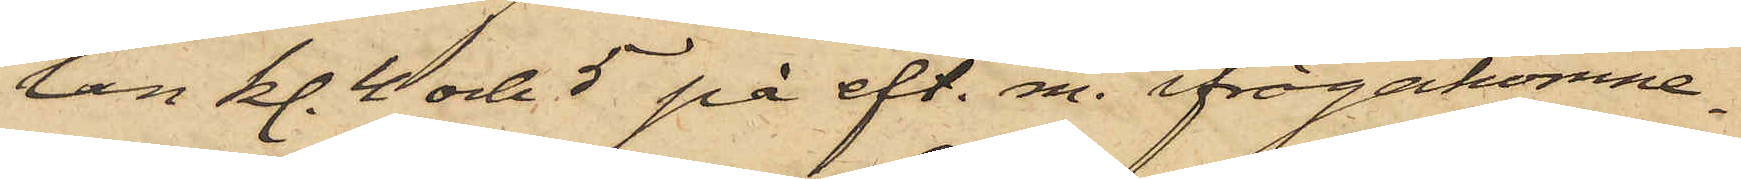lan kl. 4 och 5 på eft. m. ifrågakomne
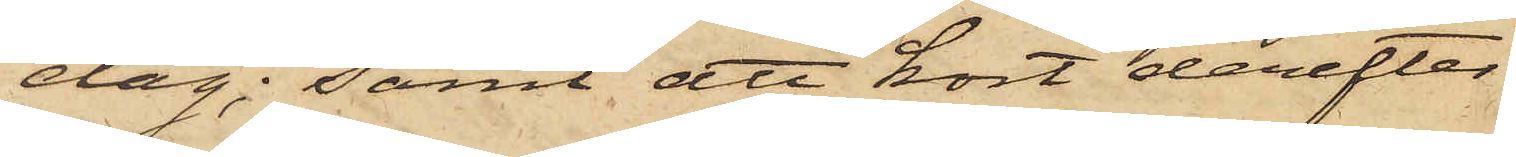dag; samt att kort derefter
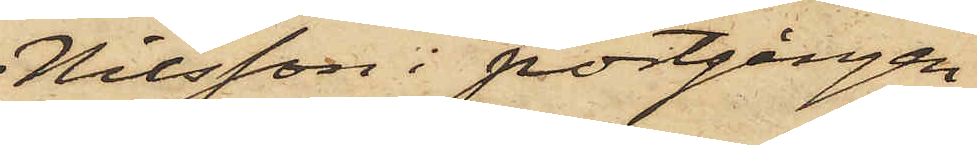Nilsson i portgången
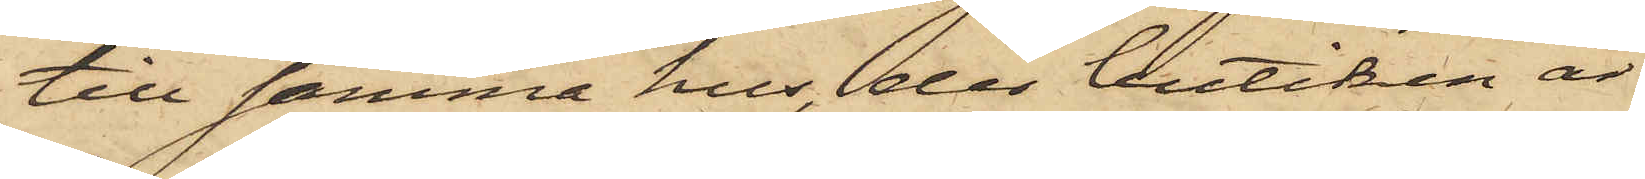till samma hus, der butiken är
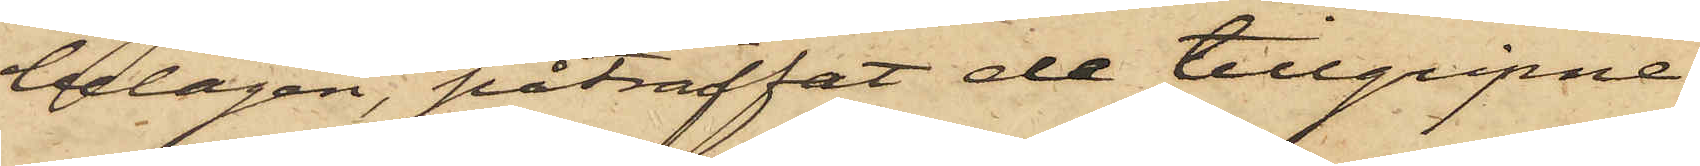belägen, påträffat de tillgripne
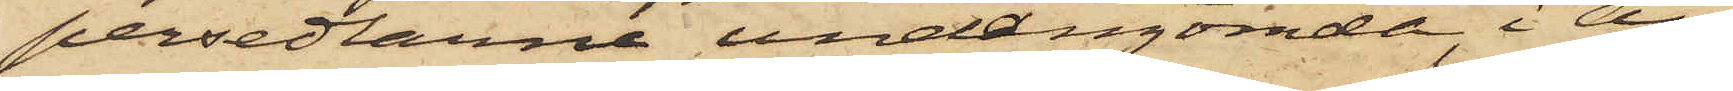persedlarne undangömde, i an¬
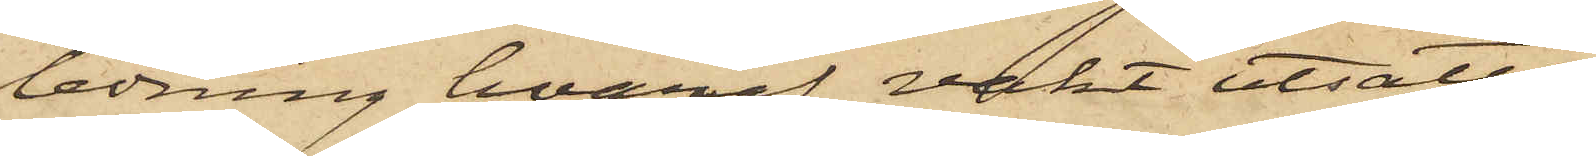ledning hvaraf vakt utsatts,
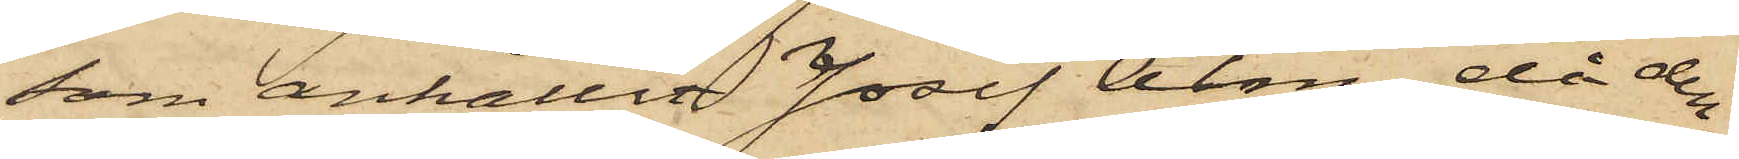som anhållit Josef Alm, då den¬
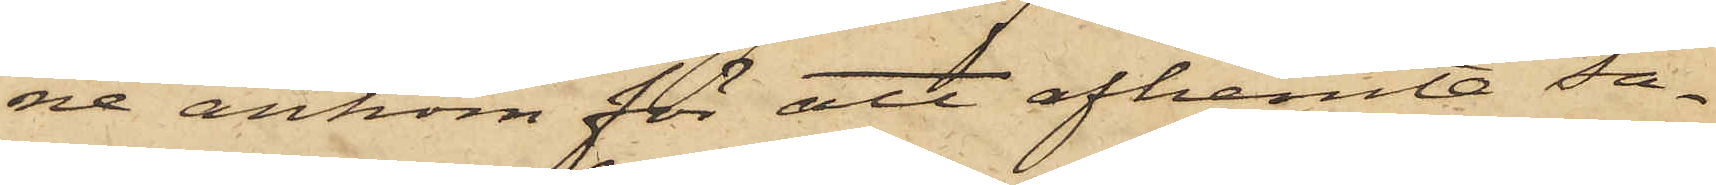ne ankom för att afhemta sa¬
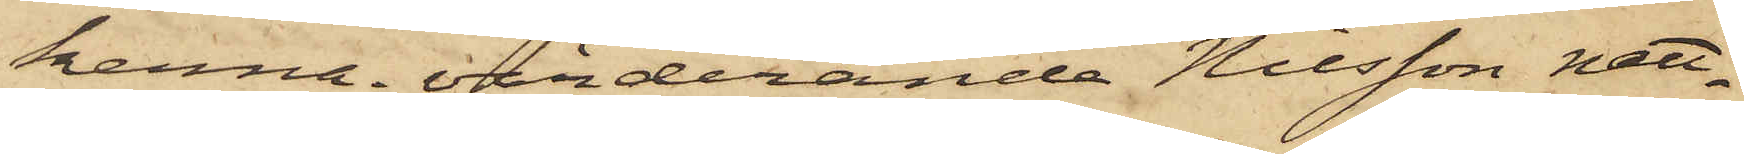kerna; värderande Nilsson natt¬
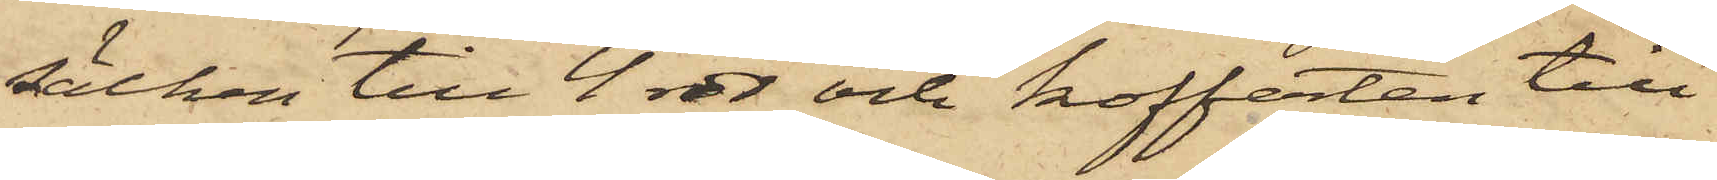säcken till 4 rdr och kofferten till
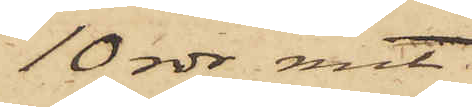10 rdr rmt.
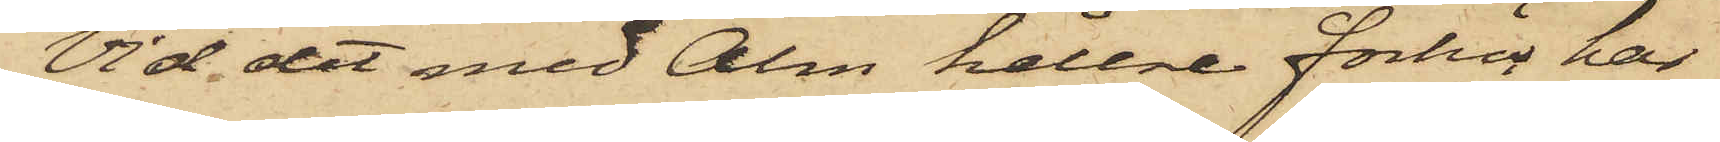Vid det med Alm hållne förhör har
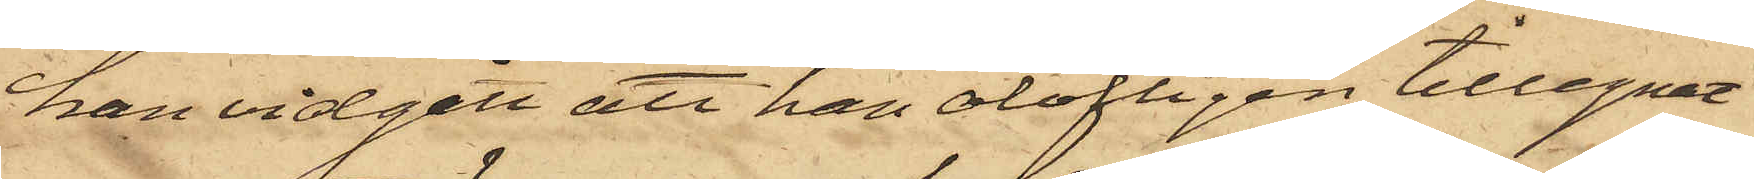han vidgått att han olofligen tillegnat
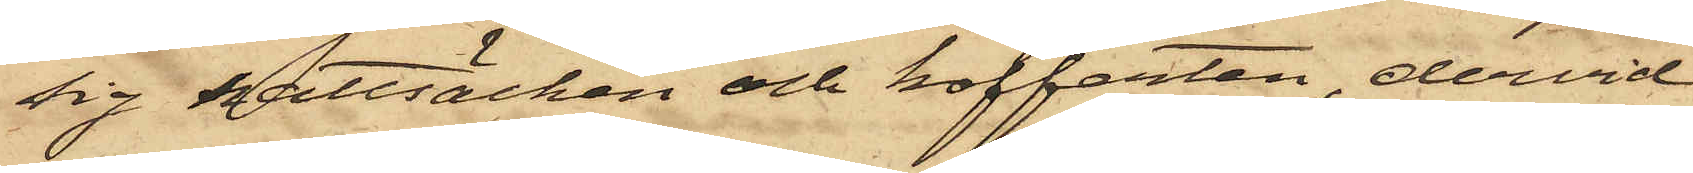sig nattsäcken och kofferten, dervid
